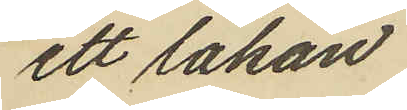ett lakan
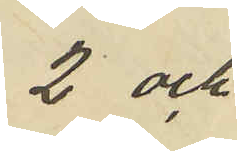2 och
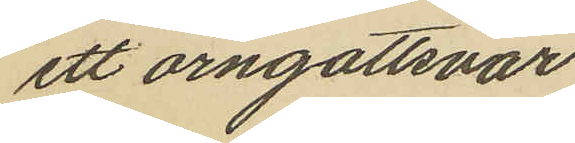ett örngottsvar
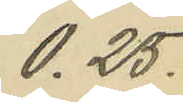0,25.
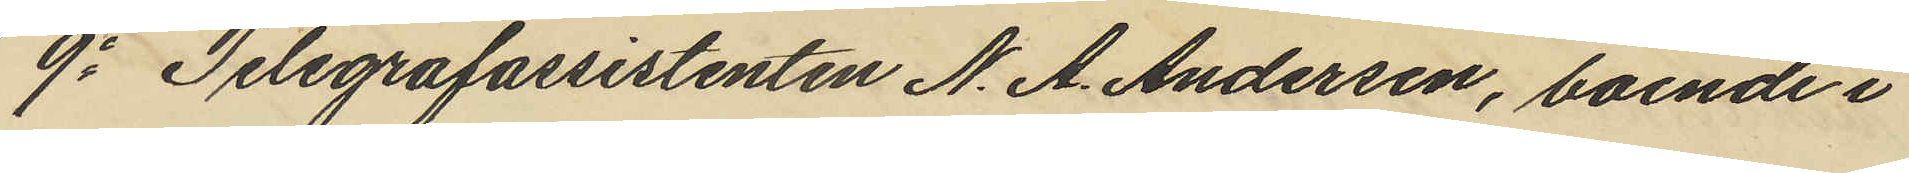9o Telegrafassistenten N. A. Andersen, boende i
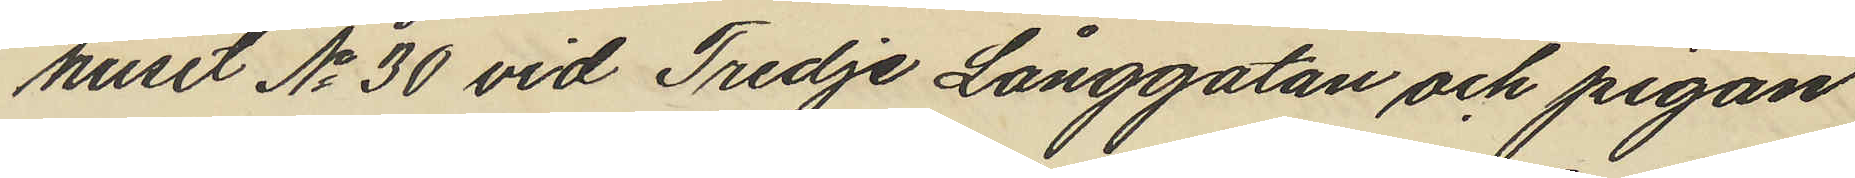huset No 30 vid Tredje Långgatan och pigan
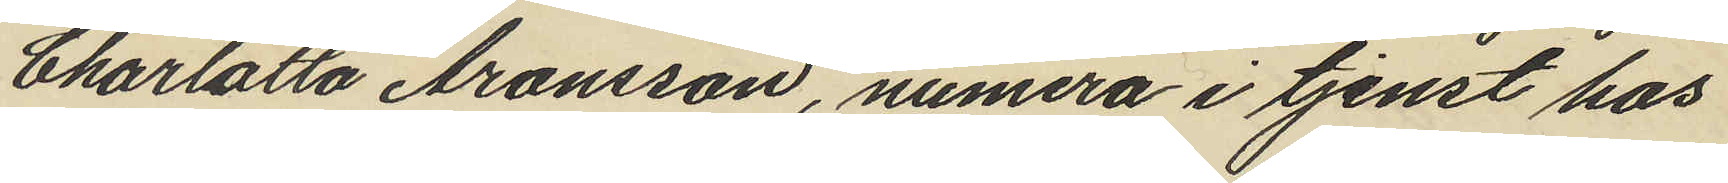Charlotta Aronsson, numera i tjenst hos
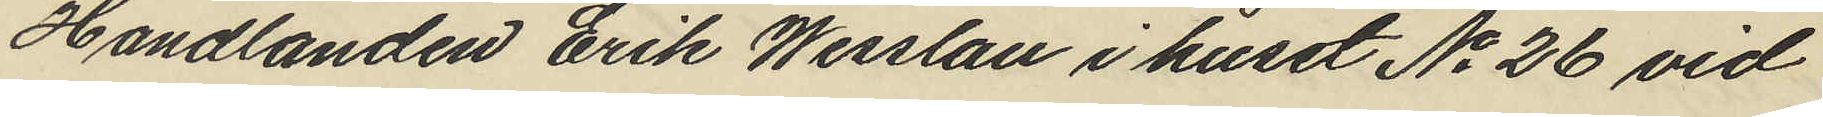Handlanden Erik Wesslau i huset No 26 vid
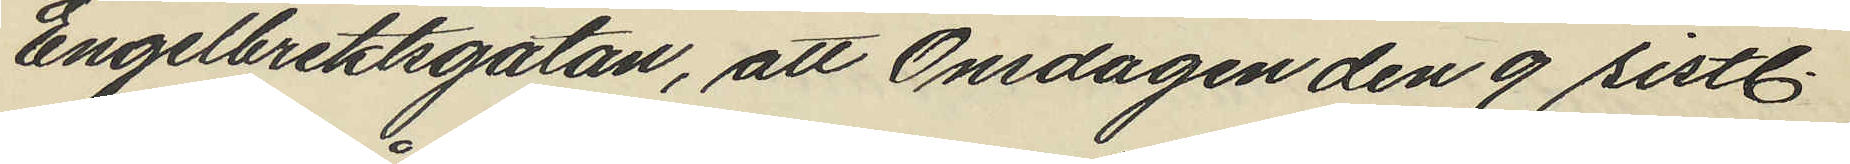Engelbrektsgatan, att Onsdagen den 9 sistl
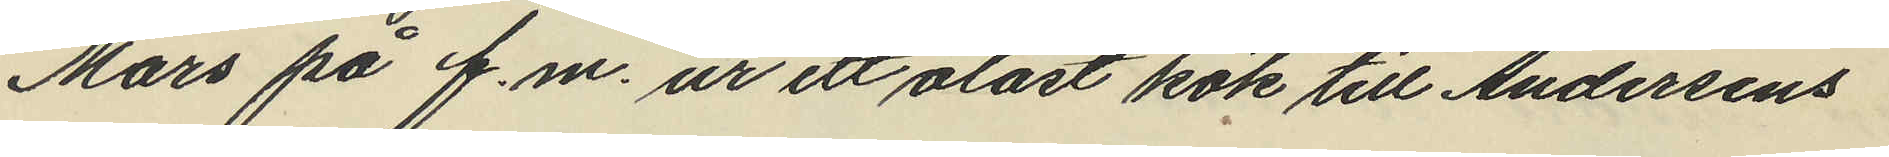Mars på f.m. ur ett olåst kök till Andersens
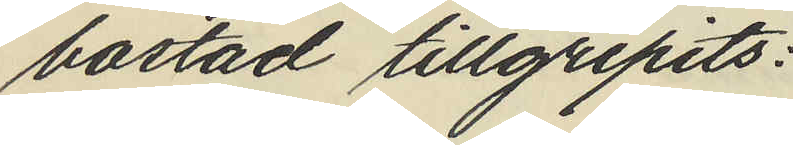bostad tillgripits:
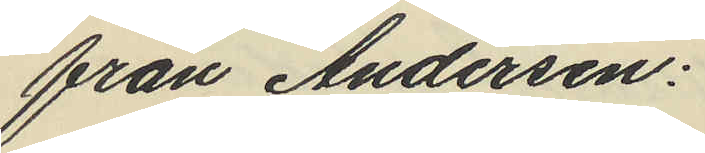från Andersen:
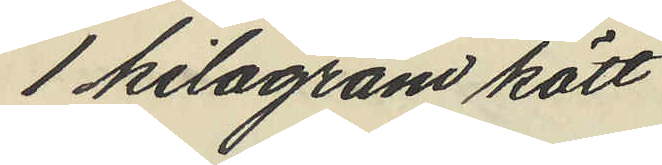1 kilogram kött
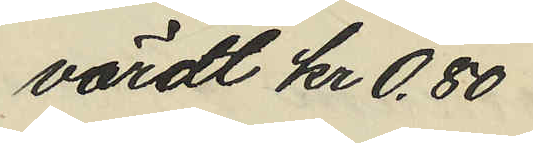värdt kr 0,80
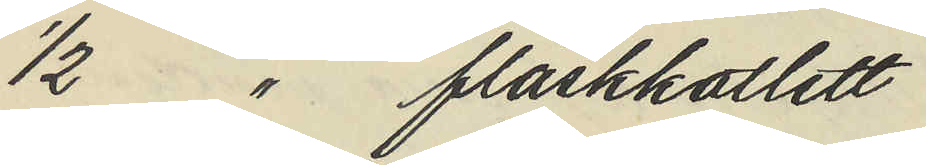1/2 " fläskkotlett
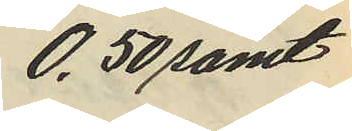0,50 samt
